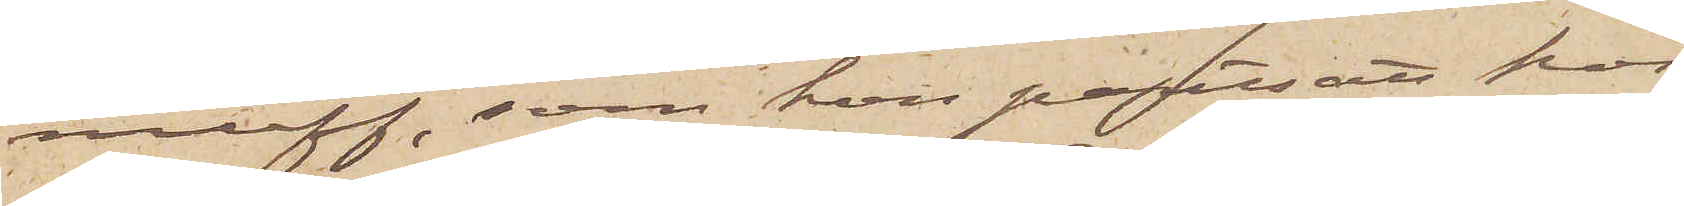muff, som hon pantsatt hos
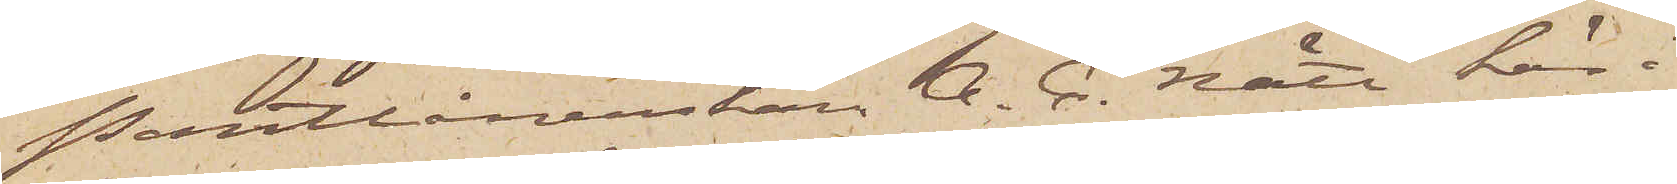Pantlånerskan A. C. Nätt här i
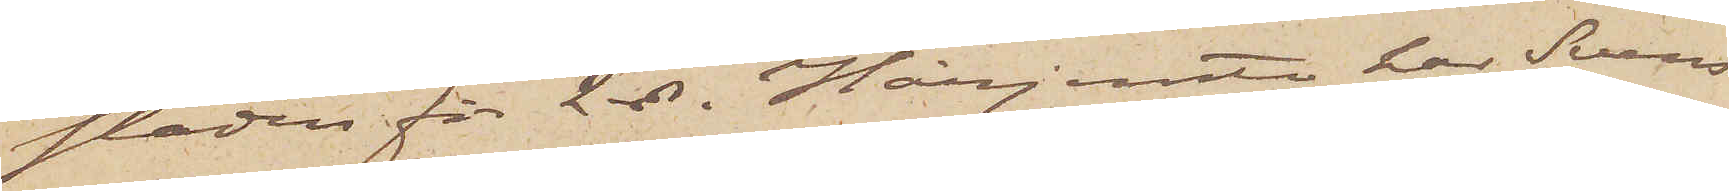staden för 2 rdr. Härjemte har Svens¬
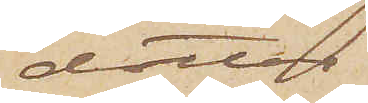dotter
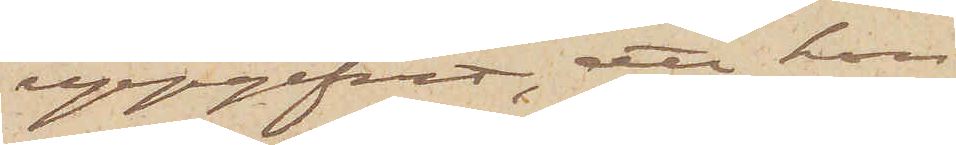uppgifvit, att hon
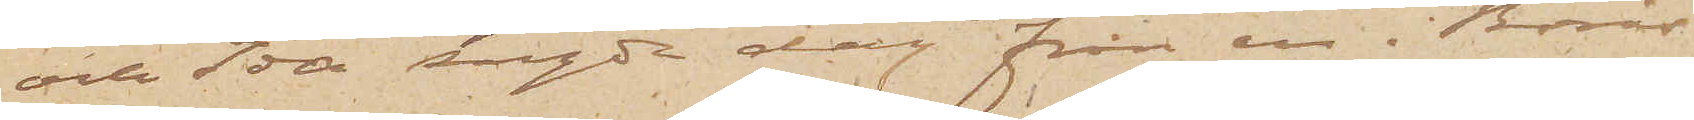och Ida sagde dag från en i Borås
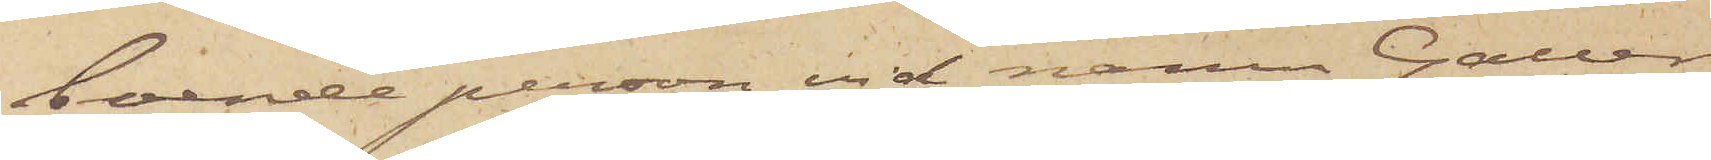boende person vid namn Gällers
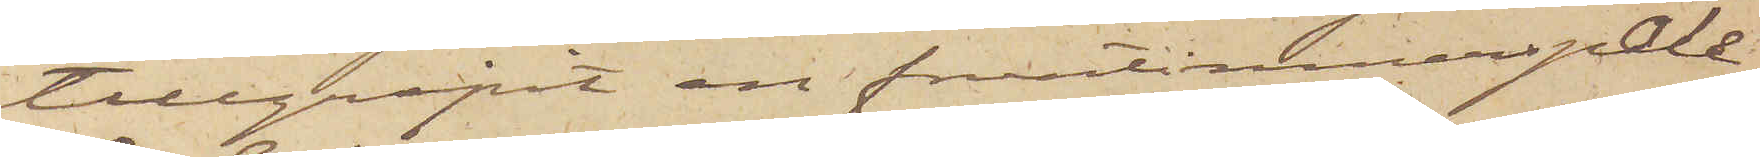tillgripit en fruntimmerspale¬
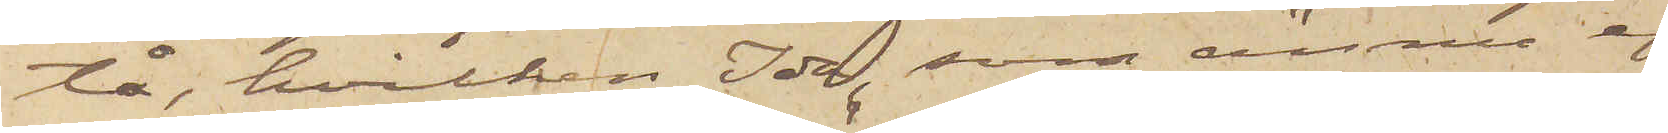tå, hvilken Ida, som ännu ej
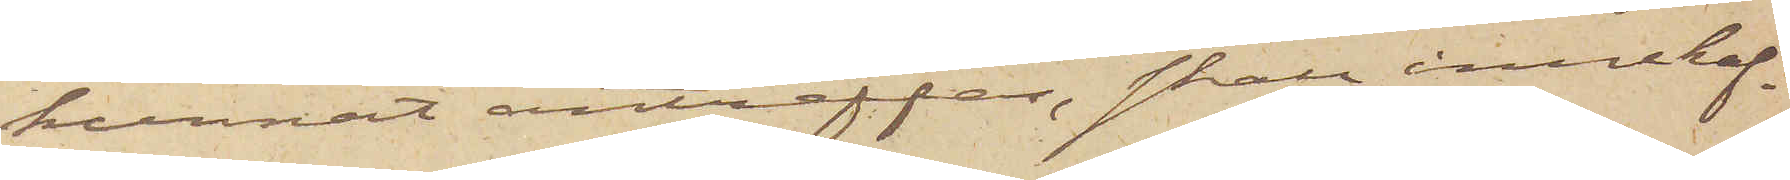kunnat anträffas, skall innehaf¬
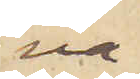va.
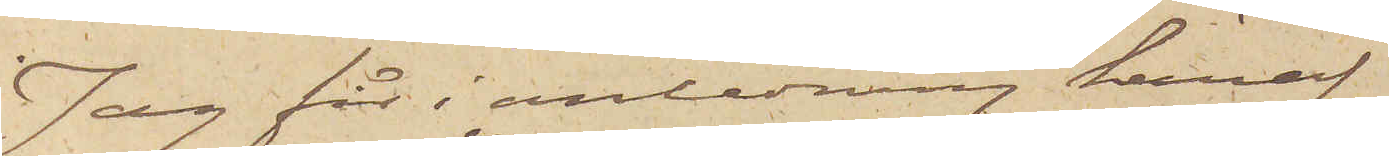Jag får i anledning häraf
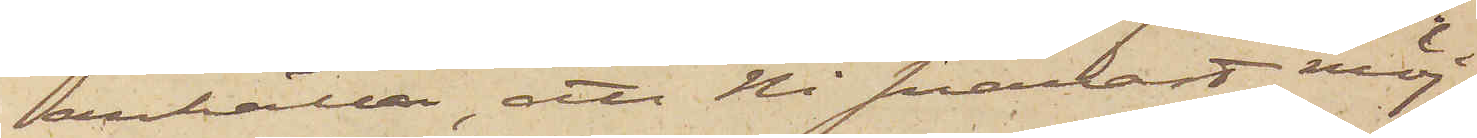anhålla, att Ni snarast möj¬
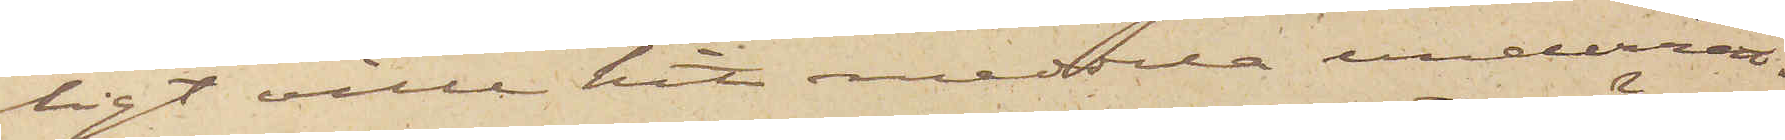ligt ville hit meddela underrät¬
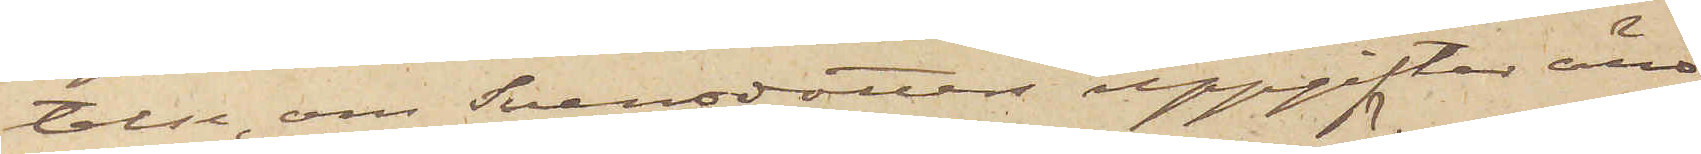telse, om Svensdotters uppgifter äro
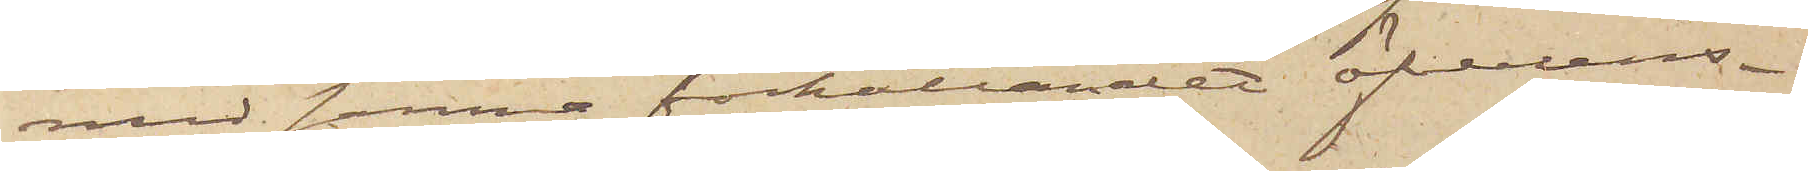med sanna förhållandet öfverens¬
